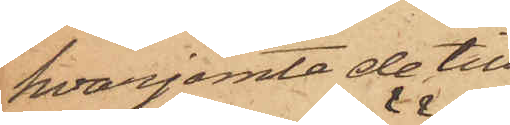hvarjemte de till¬
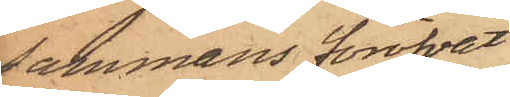sammans föröfvat
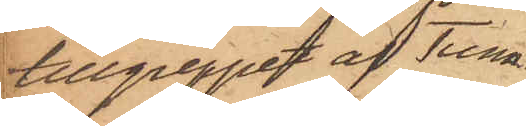tillgreppet af Tunn¬
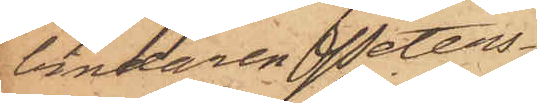bindaren Peters¬
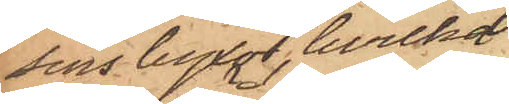sons byxor, hvilka
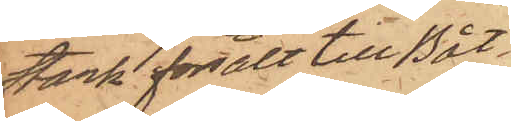Stark försålt till Båt¬
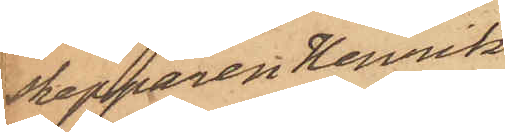Skepparen Henrik
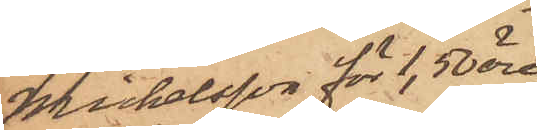Michelsson för 1,50 öre,
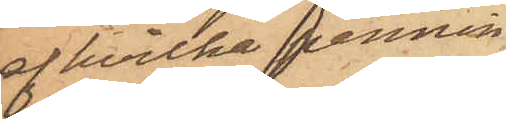af hvilka pennin¬
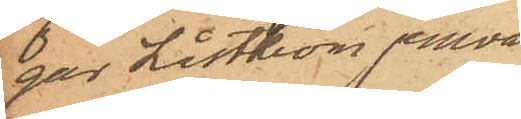gar Låsthom jemväl
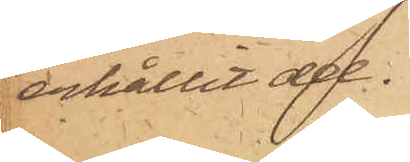erhållit del.
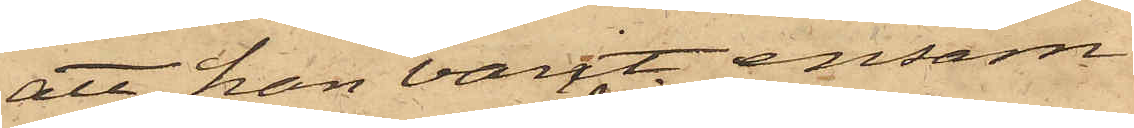att han varit ensam
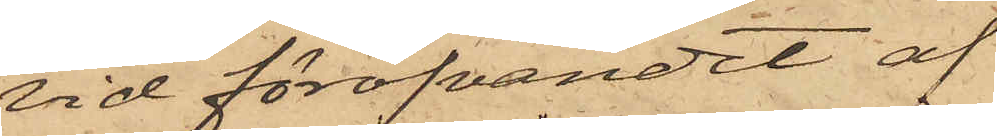vid föröfvandet af
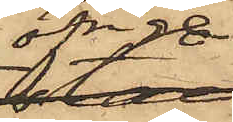öfrige
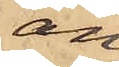an¬
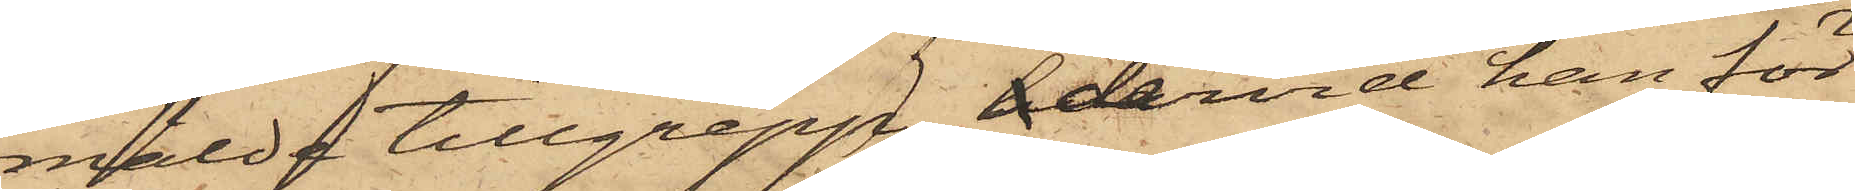mälde tillgrepp, h dervid han för
